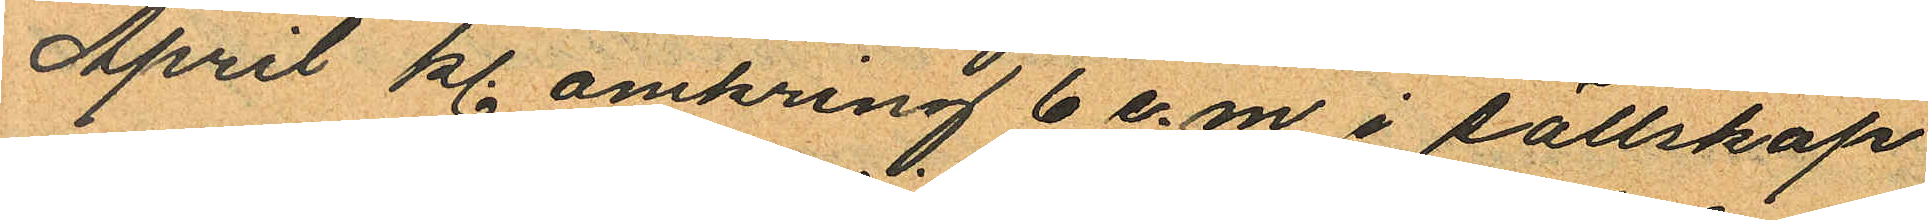April kl. omkring 6 e.m. i sällskap
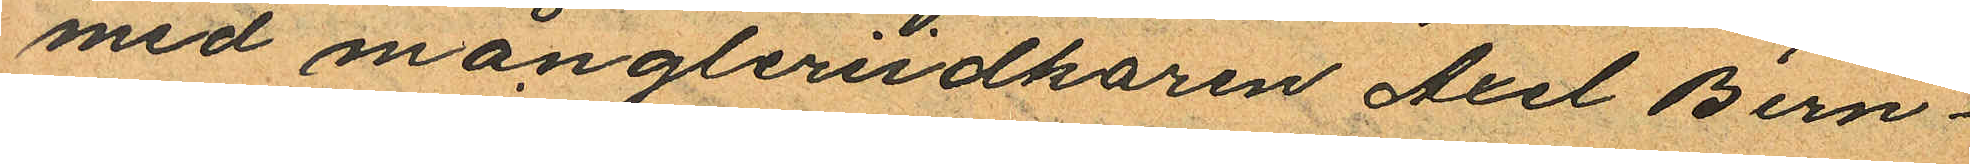med mångleriidkaren Axel Bern¬
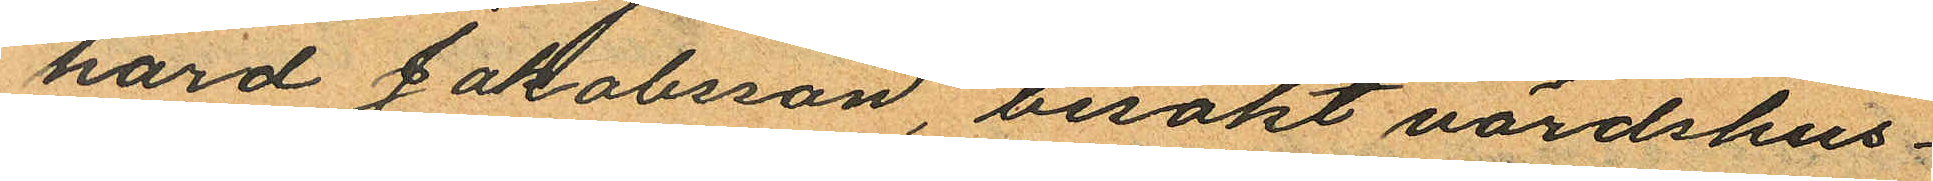hard Jakobsson, besökt värdshus¬
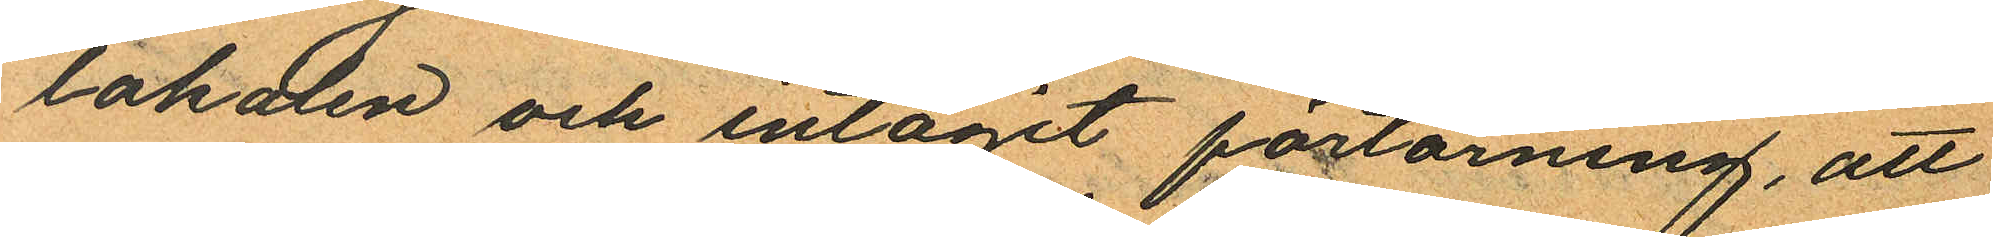lokalen och intagit förtärning, att
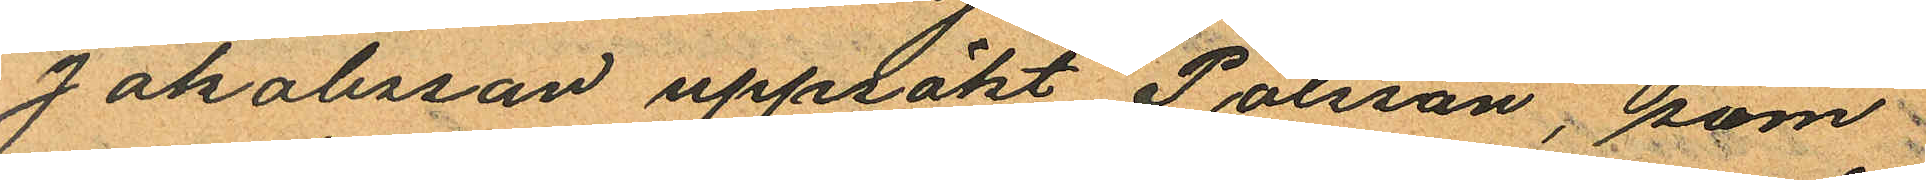Jakobsson uppsökt Pålsson, som
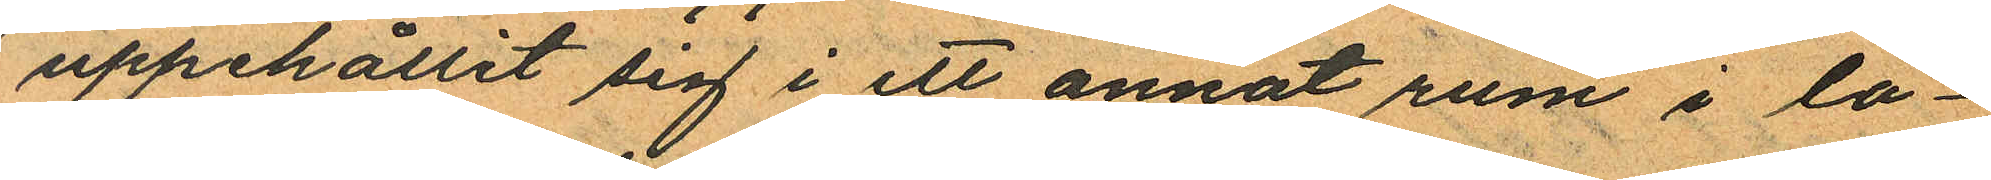uppehållit sig i ett annat rum i lo¬
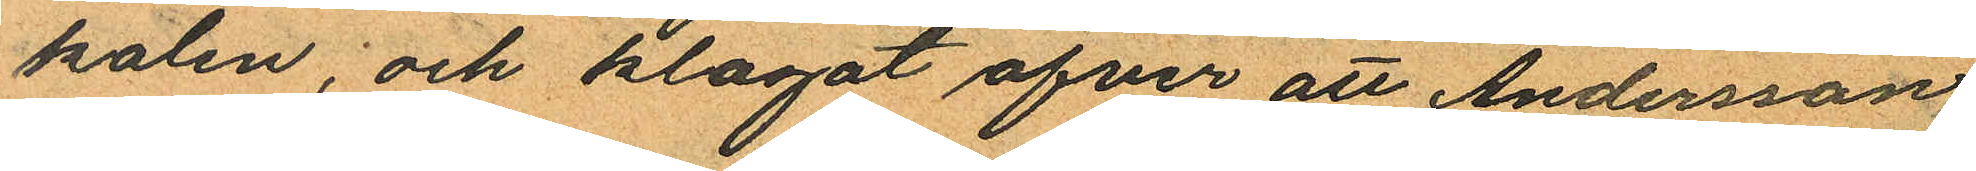kalen, och klagat öfver att Andersson
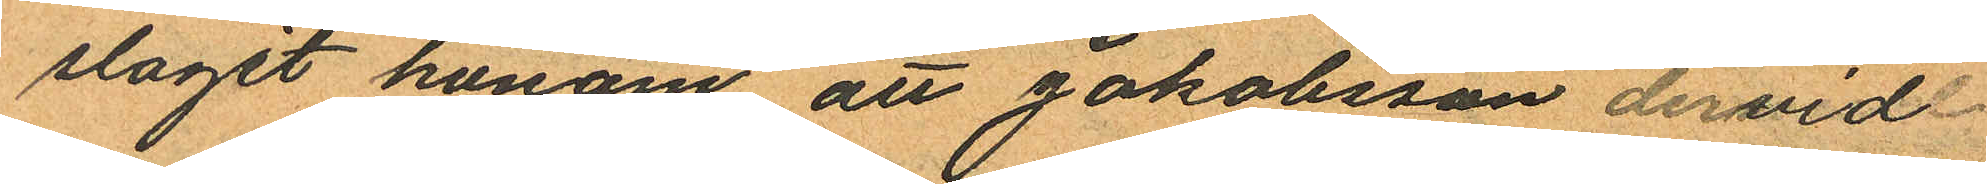slagit honom att Jakobsson dervid
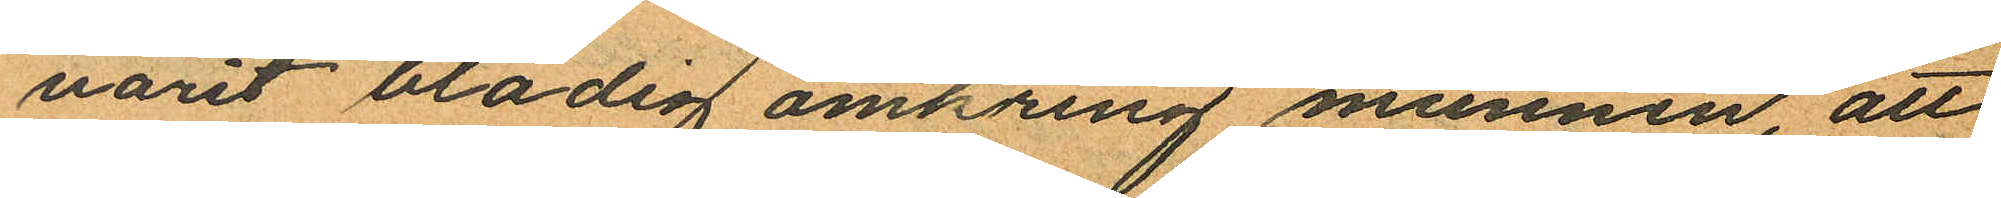varit blodig omkring munnen, att
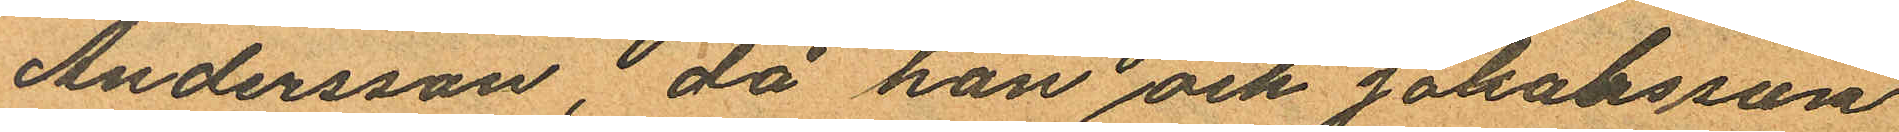Andersson, då han och Jakobsson
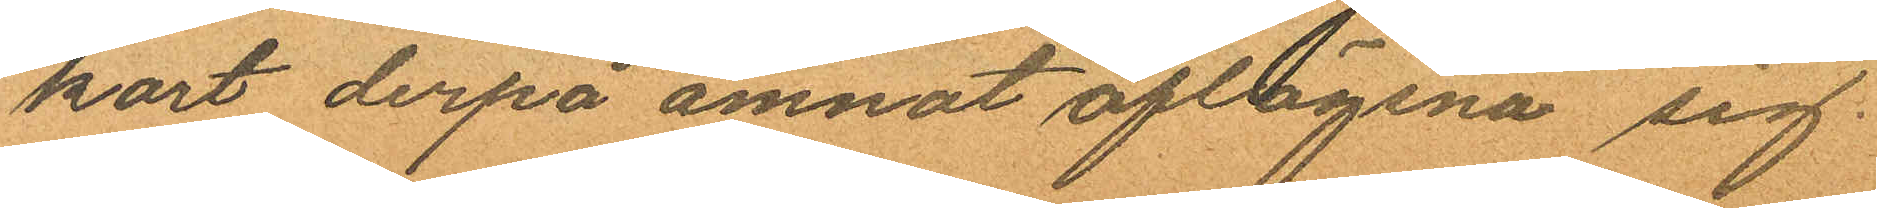kort derpå ämnat aflägsna sig.
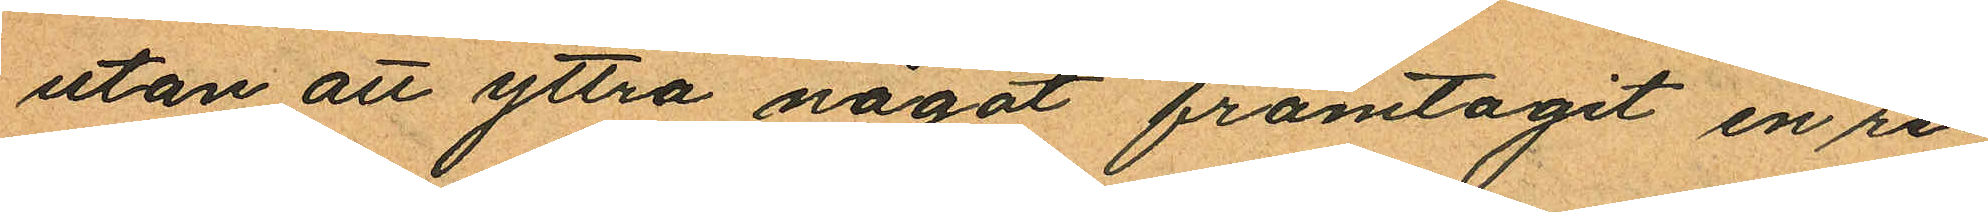utan att yttra något framtagit en re¬
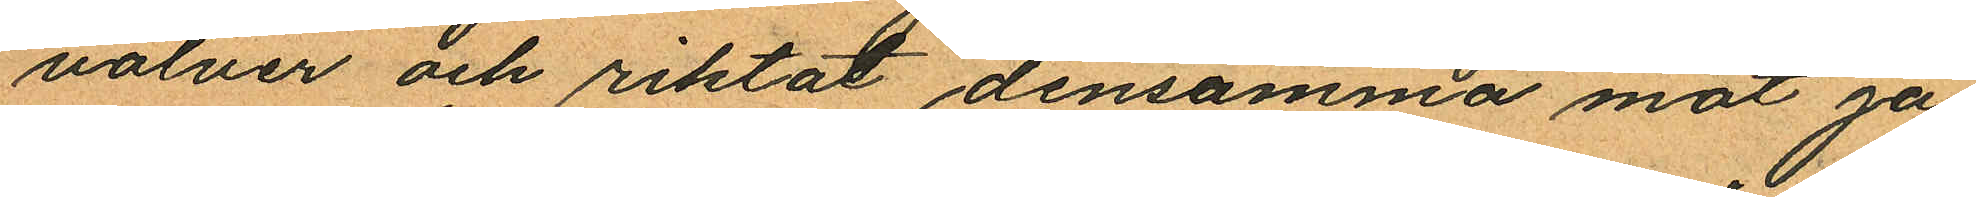volver och riktat densamma mot Ja¬
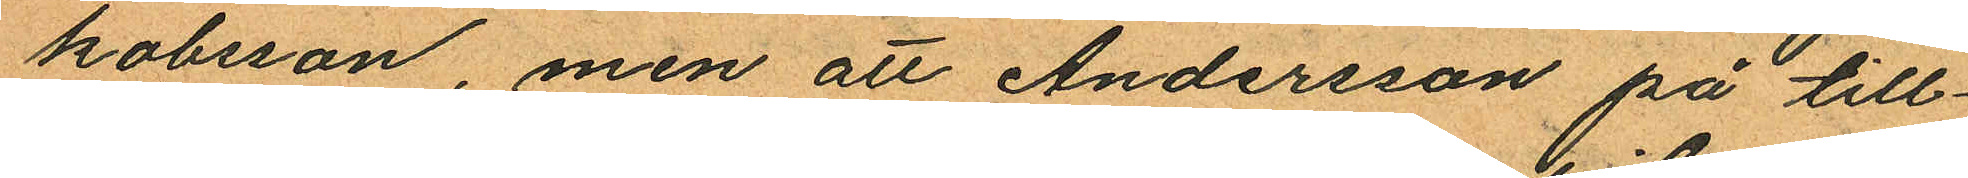kobsson, men att Andersson på till¬
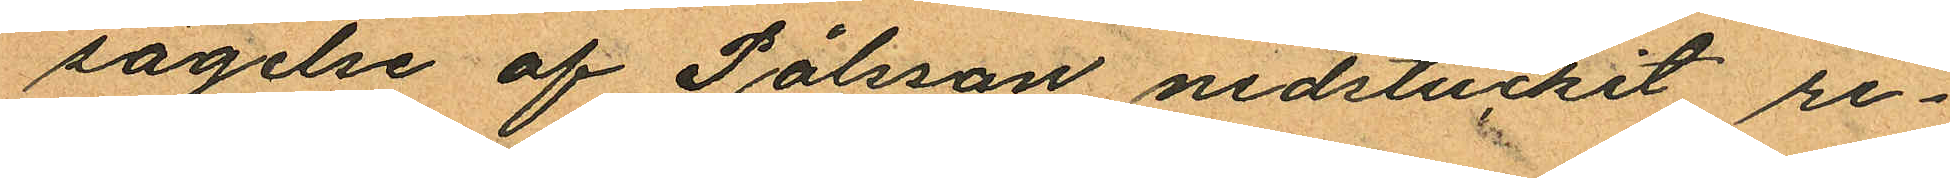sägelse af Pålsson nedstuckit re¬
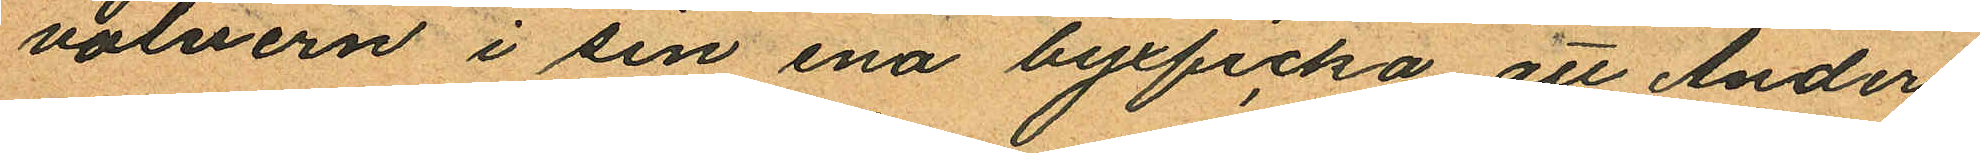volvern i sin ena byxficka att Anders
